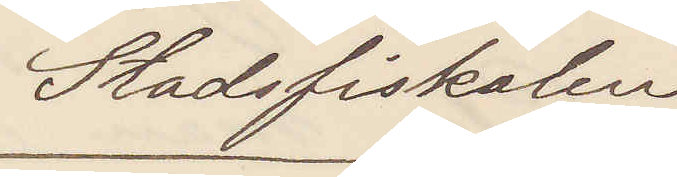Stadsfiskalen
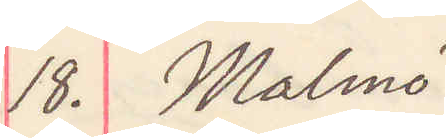18. Malmö
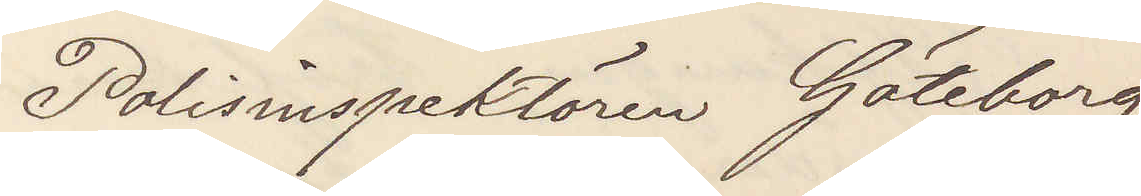Polisinspektören Göteborg
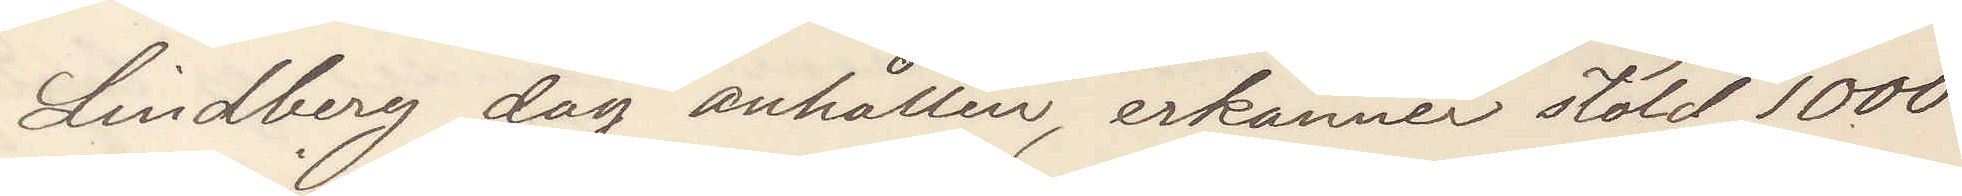Lindberg dag anhållen, erkänner stöld 1000
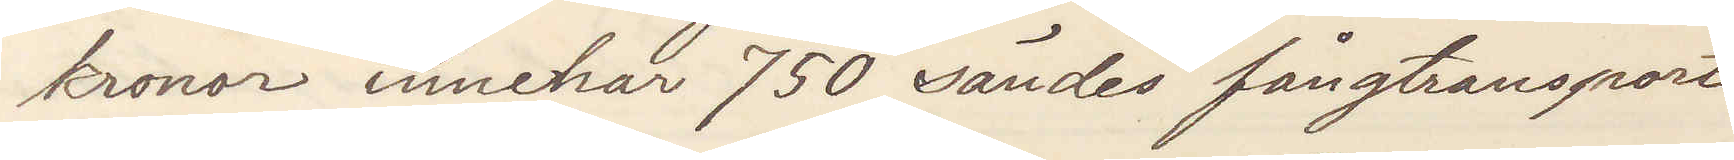kronor innehar 750 sändes fångtransport
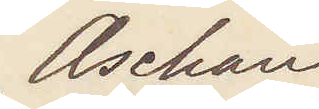Aschan
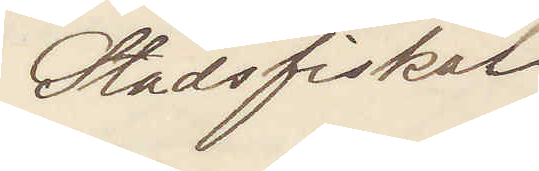Stadsfiskal
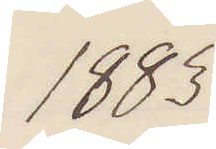1883.
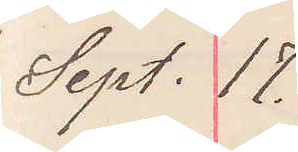Sept. 17.
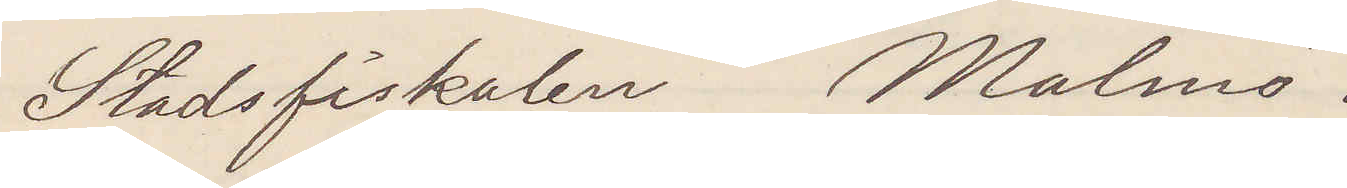Stadsfiskalen Malmö.
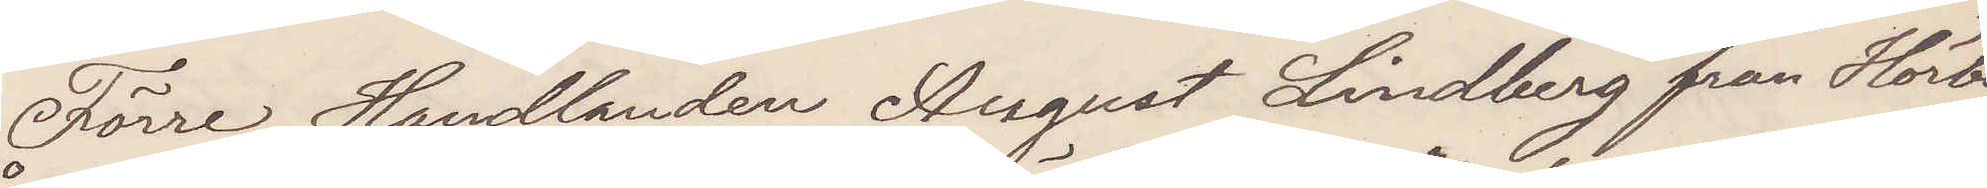Förre Handlanden August Lindberg från Hörby
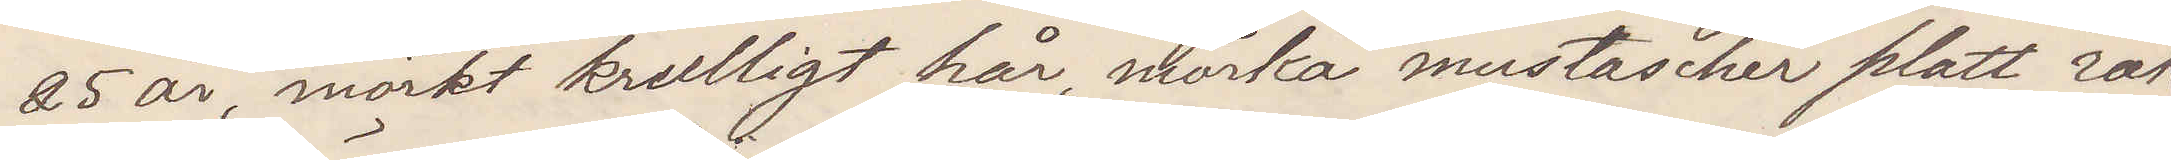25 år, mörkt krulligt hår, mörka mustascher platt rak
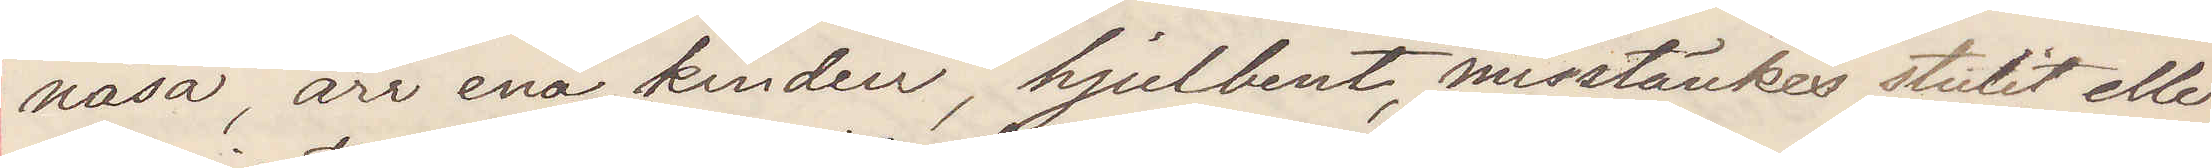näsa, ärr ena kinden, hjulbent, misstänkes stulit eller
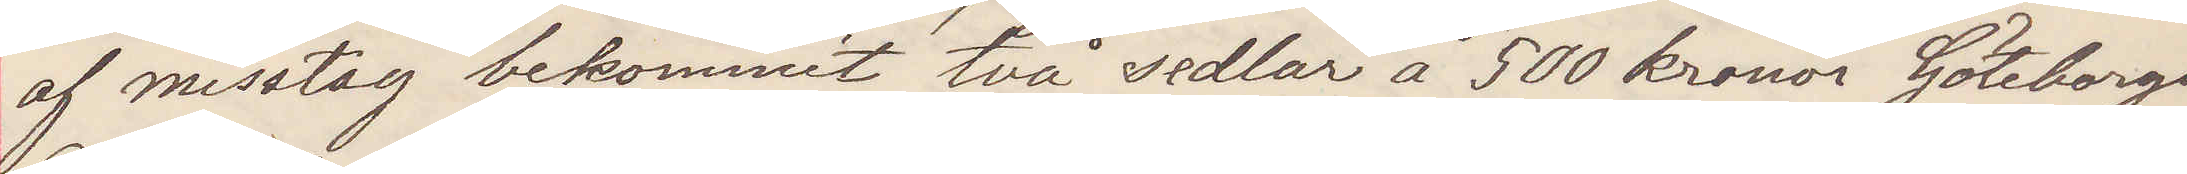af misstag bekommit två sedlar å 500 kronor Göteborgs
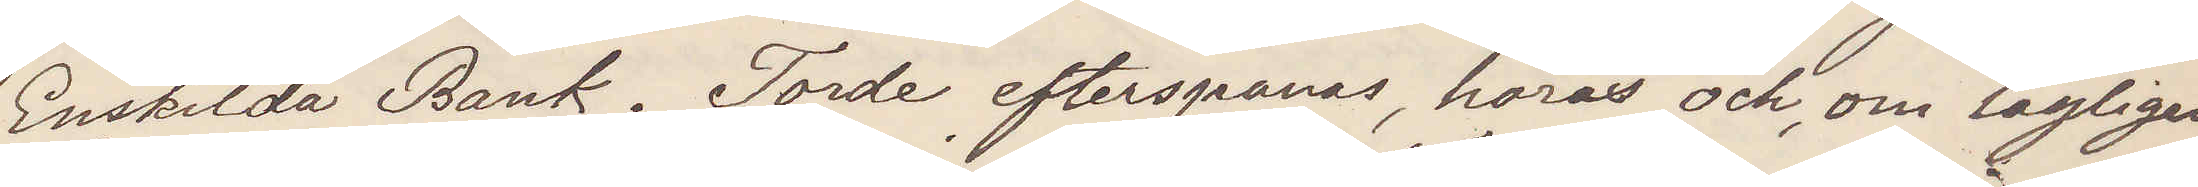Enskilda Bank. Torde efterspanas, höras och, om lagligen
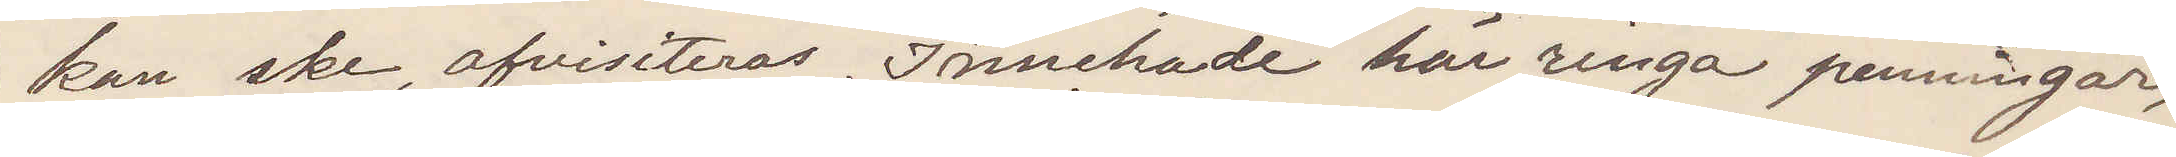kan ske, afvisiteras. Innehade här ringa penningar,
